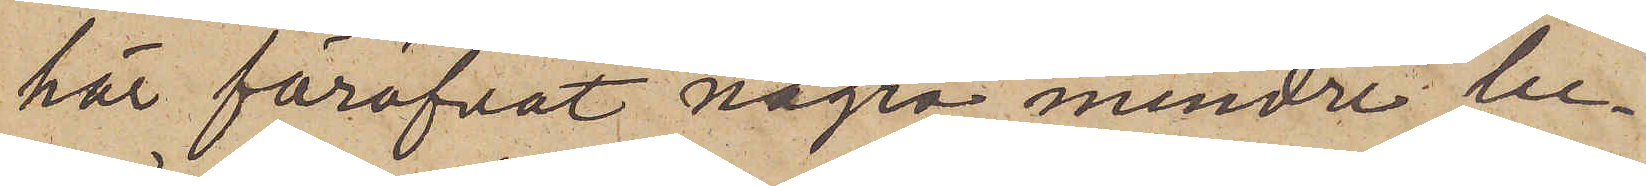här föröfvat några mindre be¬
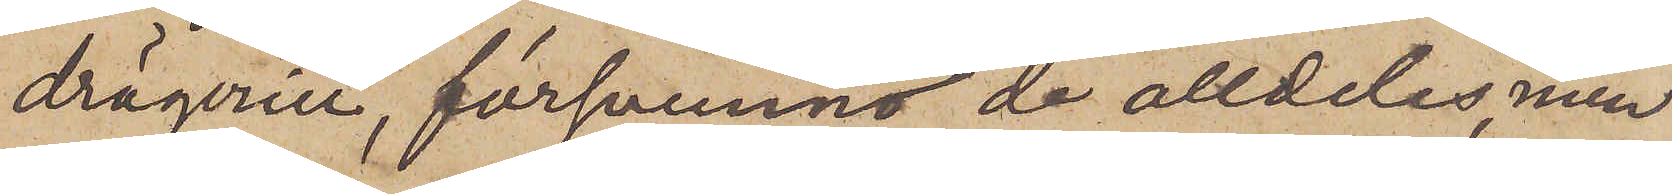drägerier, försvunno de alldeles, men
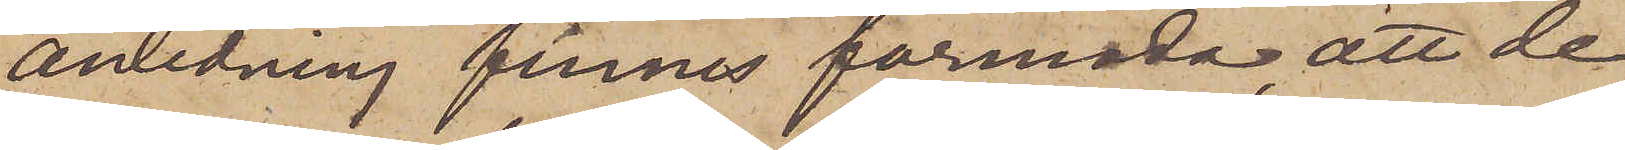anledning finnes förmoda, att de
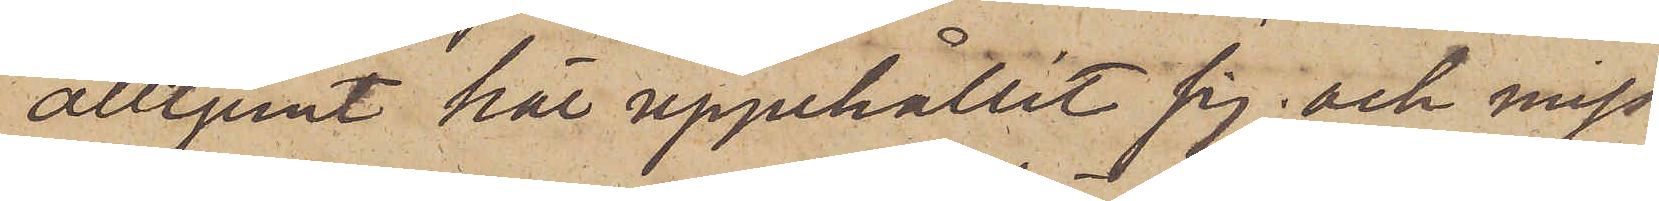alltjemt här uppehållit sig, och miss¬
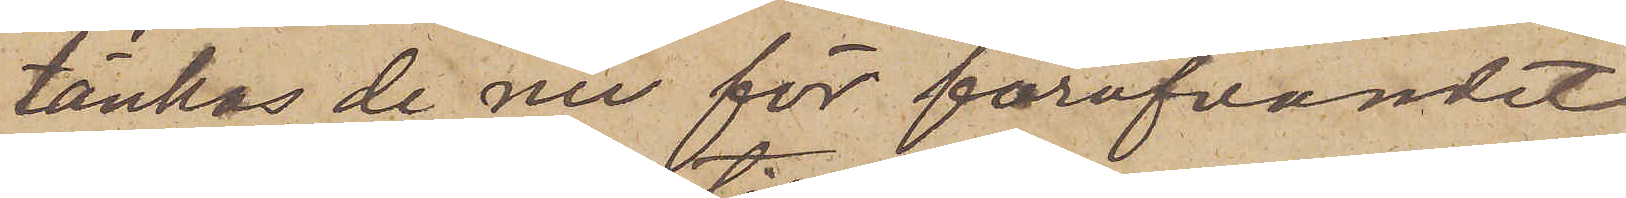tänkas de nu för föröfvandet
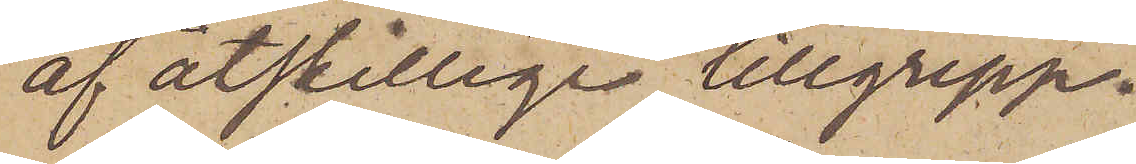af åtskillige tillgrepp.
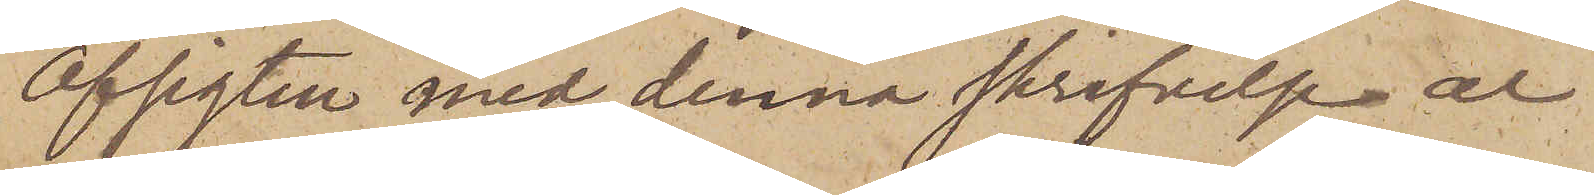Afsigten med denna skrifvelse är
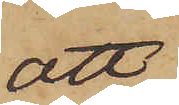att
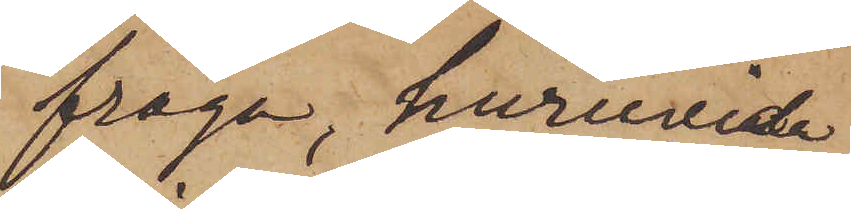fråga, huruvida
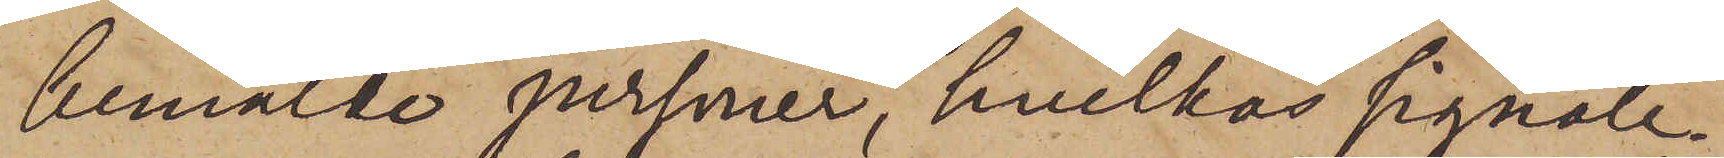bemälde personer, hvilkas signale¬
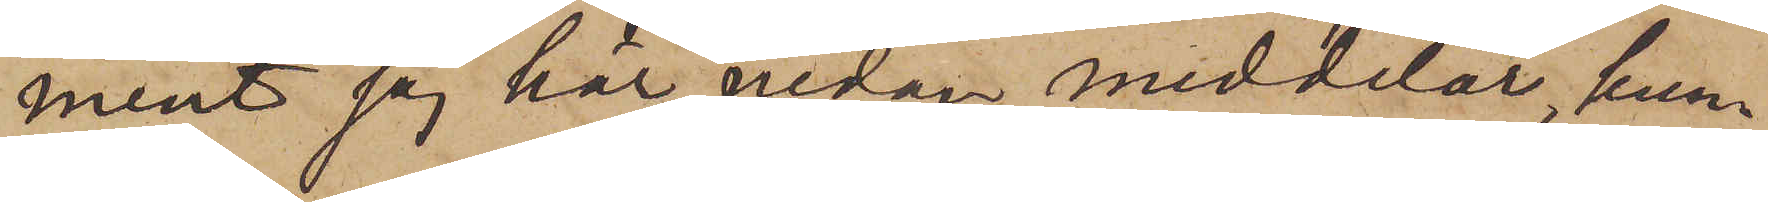ment jag här nedan meddelar, kun¬
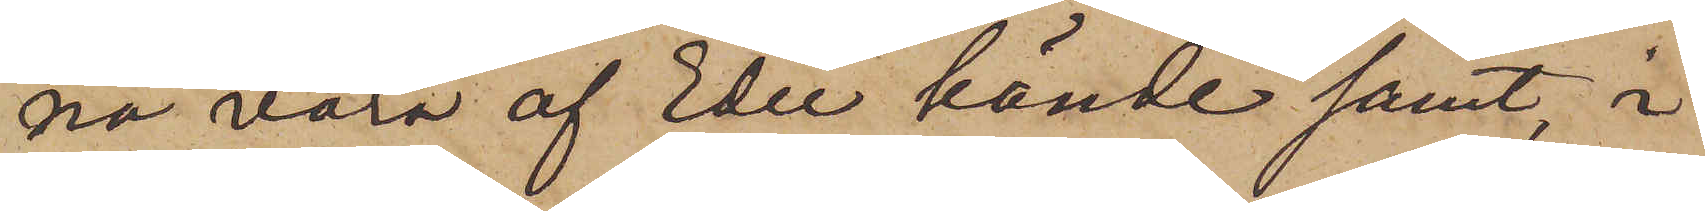na vara af Eder kände samt, i
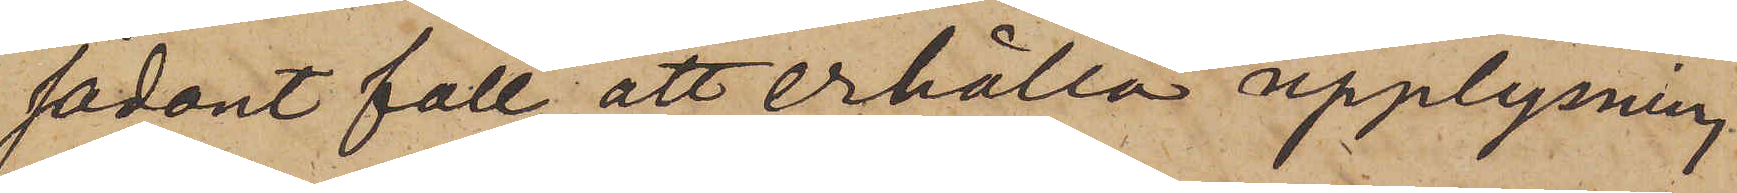sådant fall, att erhålla upplysning
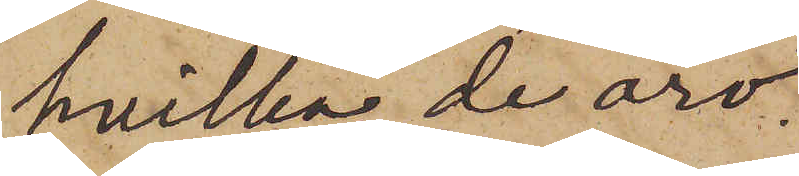hvilka de äro.
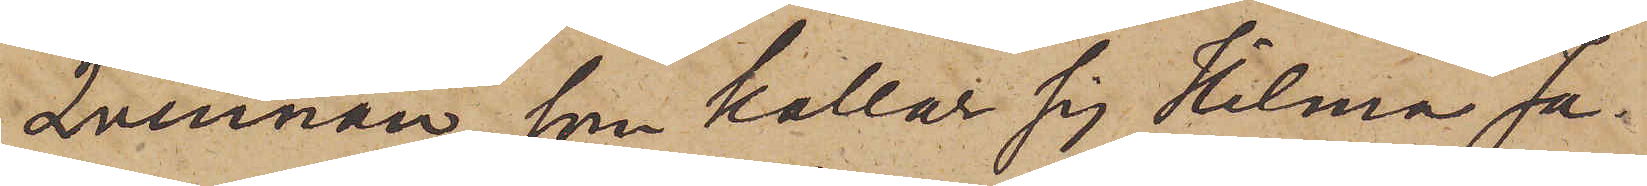Qvinnan, som kallar sig Hilma Ja¬
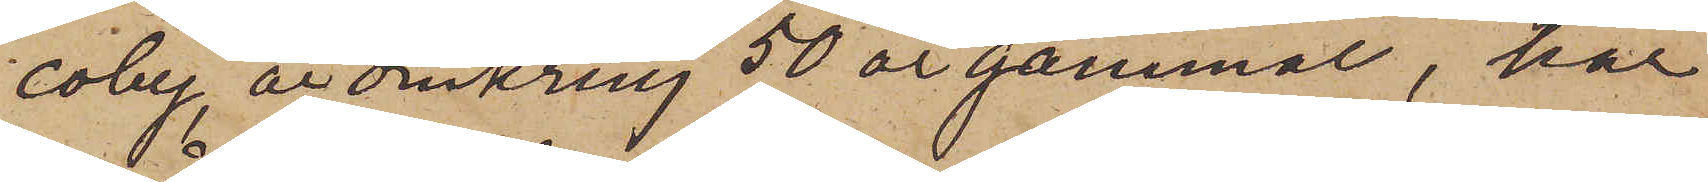coby, är omkring 50 år gammal, har
